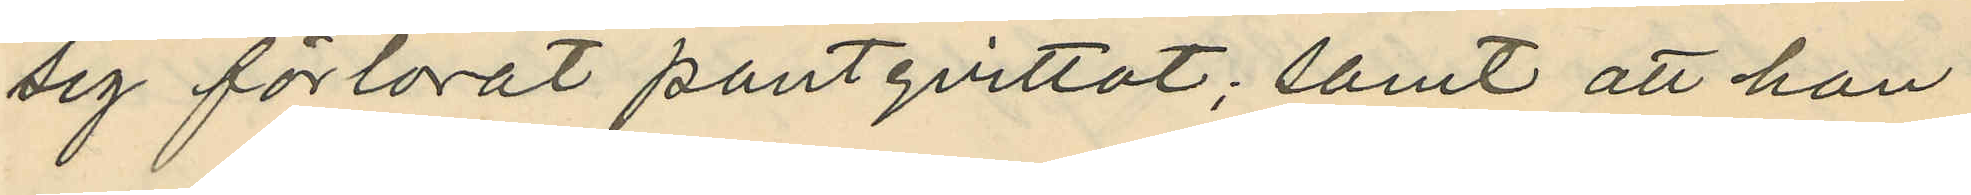sig förlorat pantqvittot; samt att han
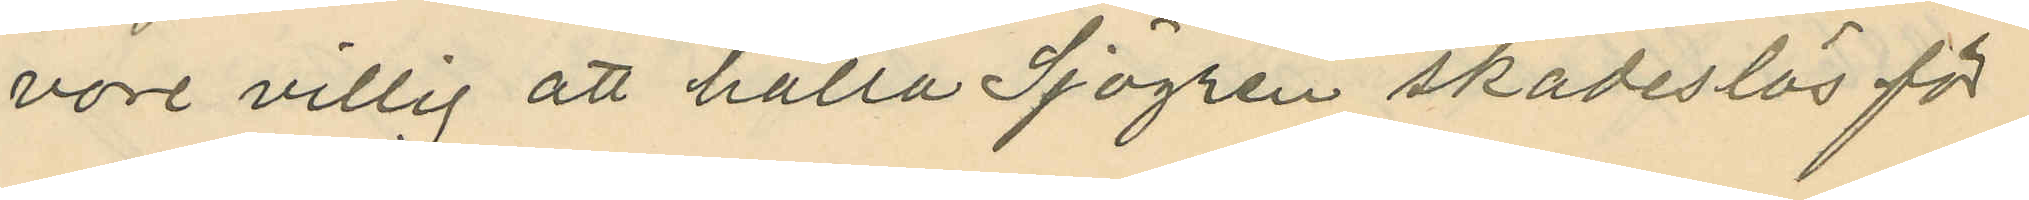vore villig att hålla Sjögren skadeslös för
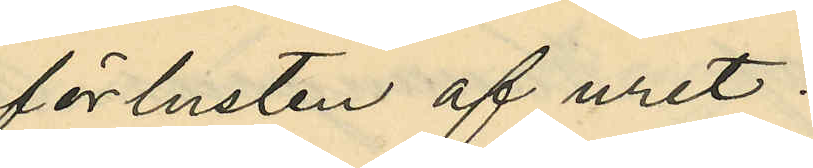förlusten af uret.
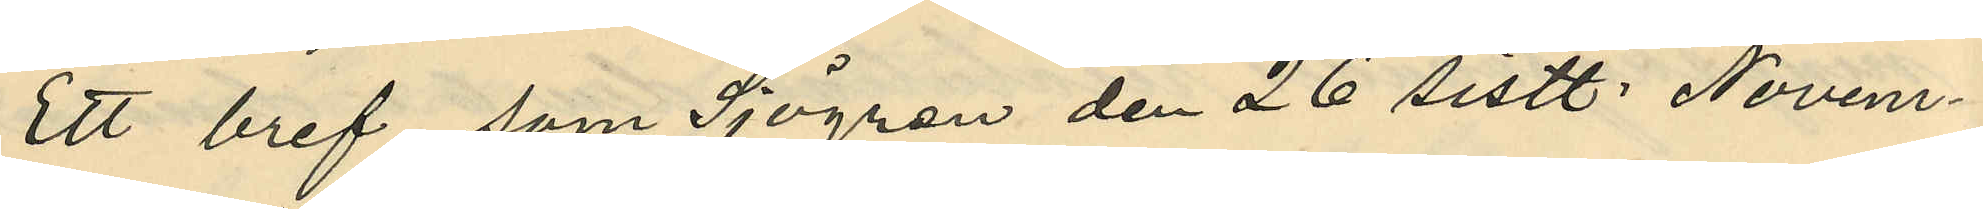Ett bref, som Sjögren den 26 sistl. Novem¬
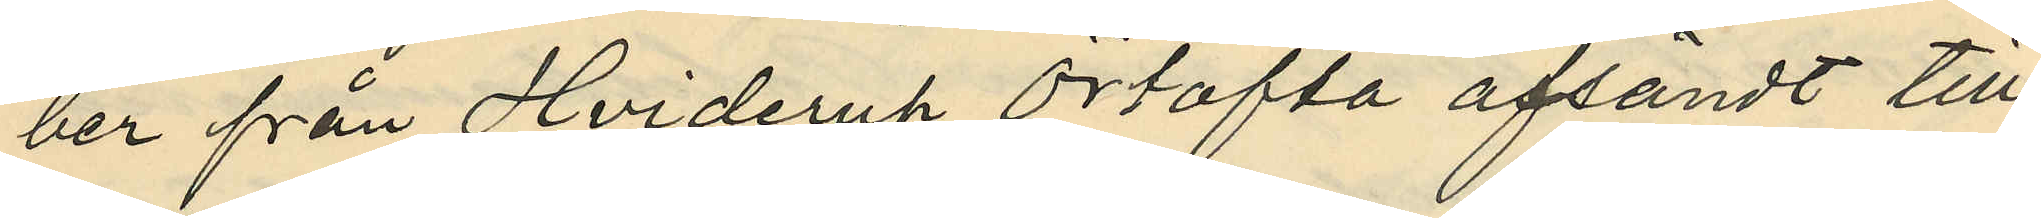ber från Hviderup Örtofta afsändt till
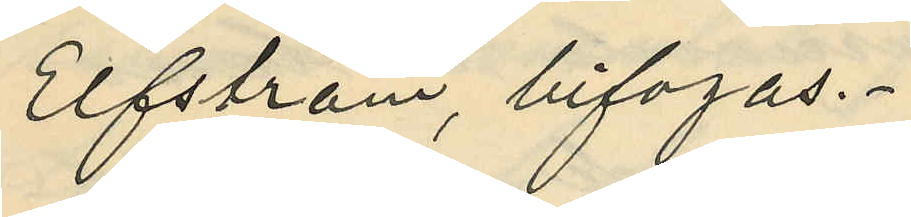Elfström, bifogas.
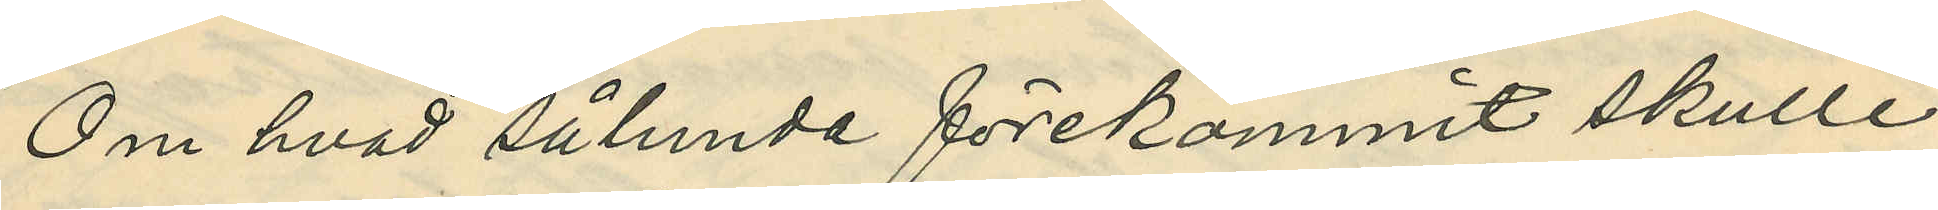Om hvad sålunda förekommit skulle
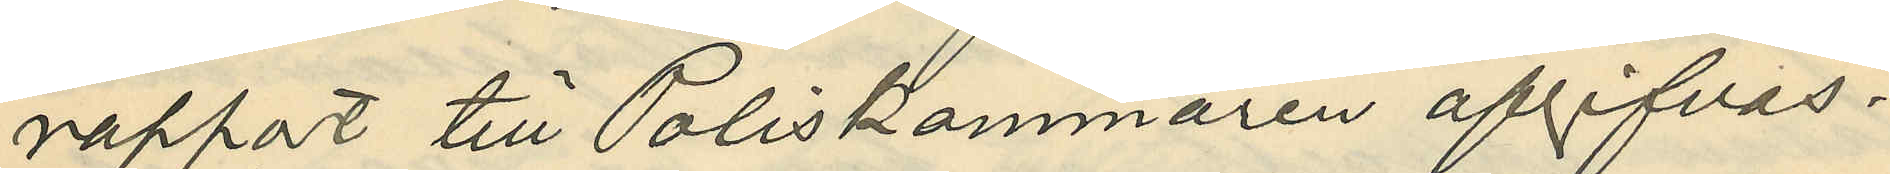rapport till Poliskammaren afgifvas.
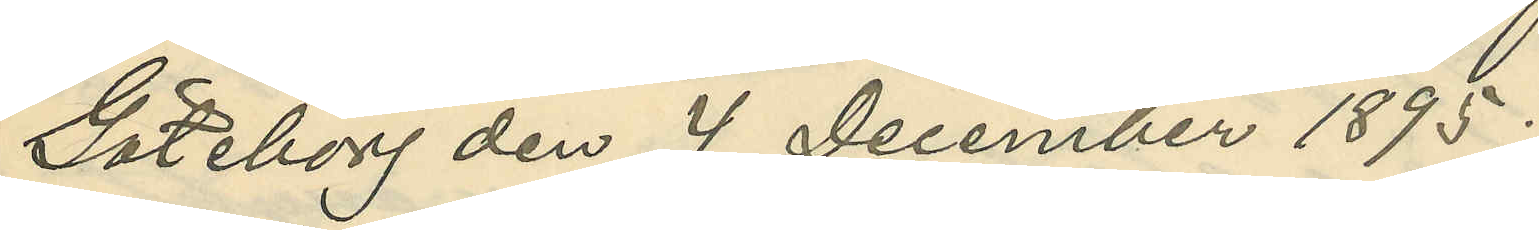Göteborg den 4 December 1895.
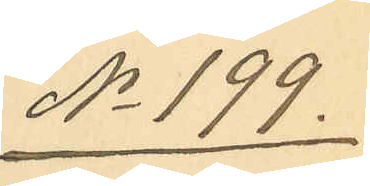No 199.
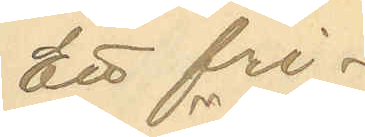Ett fri¬
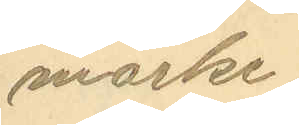märke.
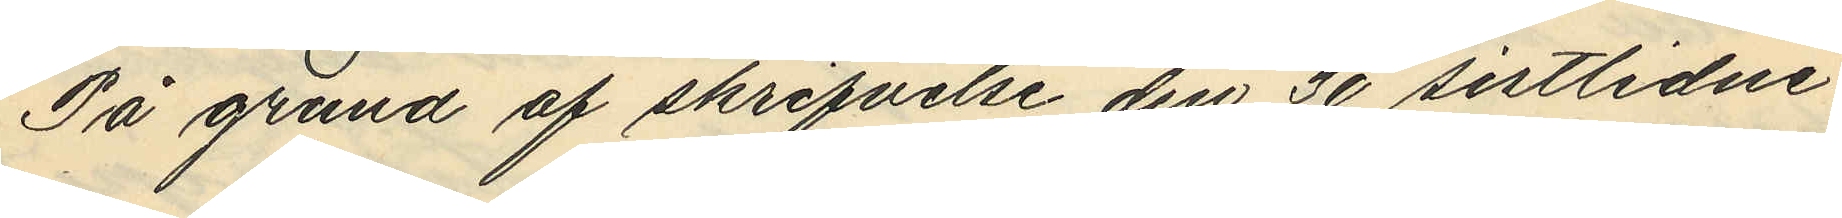På grund af skrifvelse den 30 sistlidne
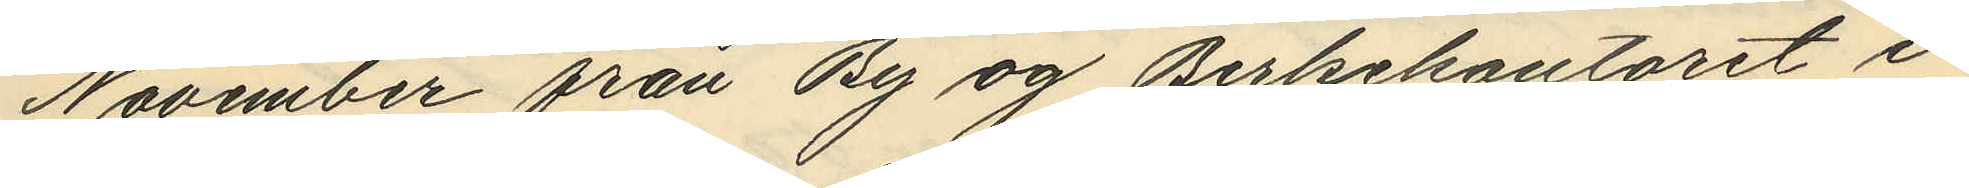November från By og Berkekontoret i
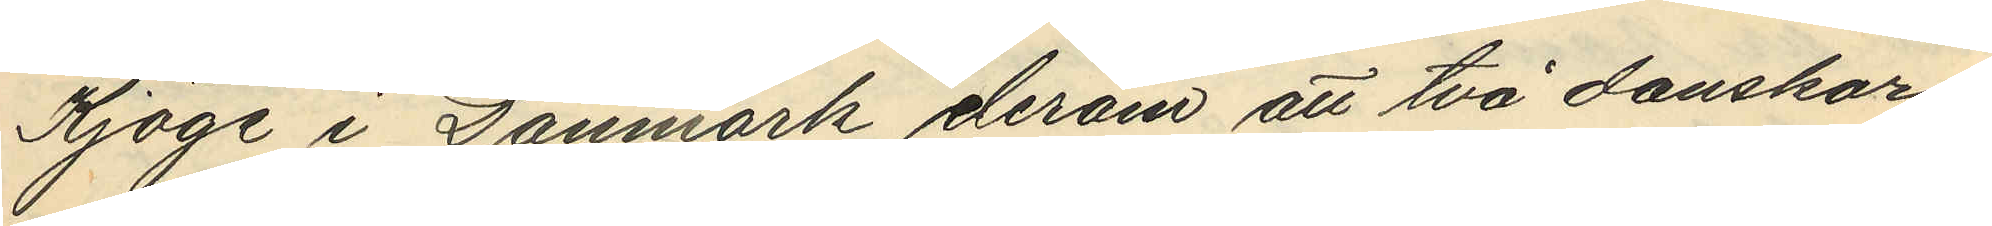Kjöge i Danmark derom att två danskar
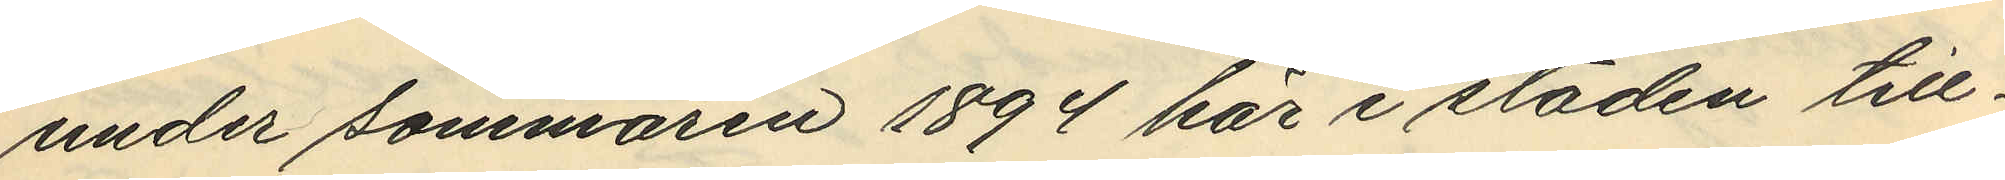under sommaren 1894 här i staden till¬
